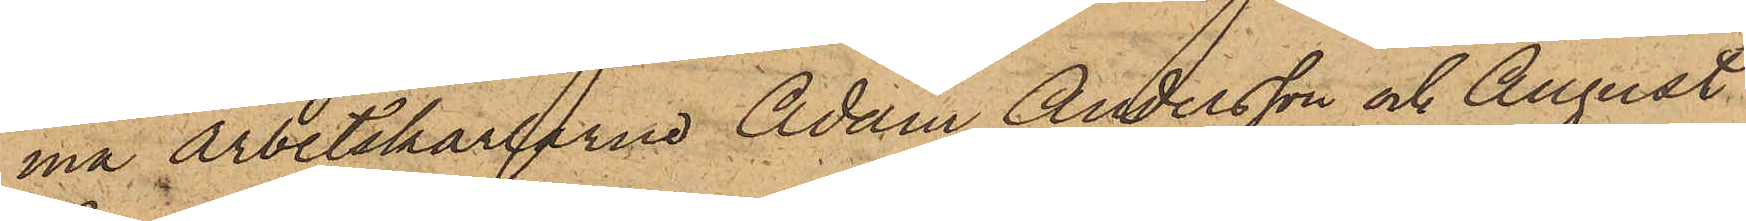ma arbetskarlarne Adam Andersson och August
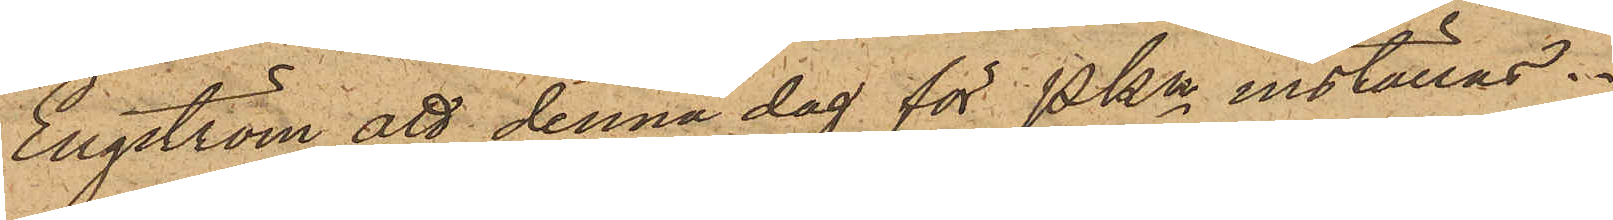Engström att denna dag för Pkn inställas.
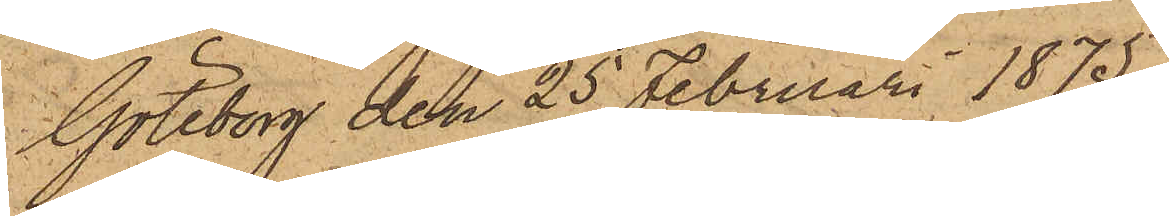Göteborg den 25 Februari 1875.
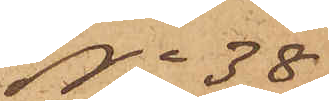No 38
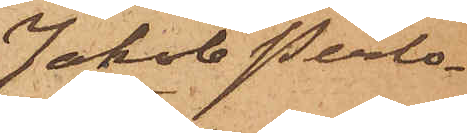Jakob Perlo¬
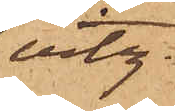vitz.
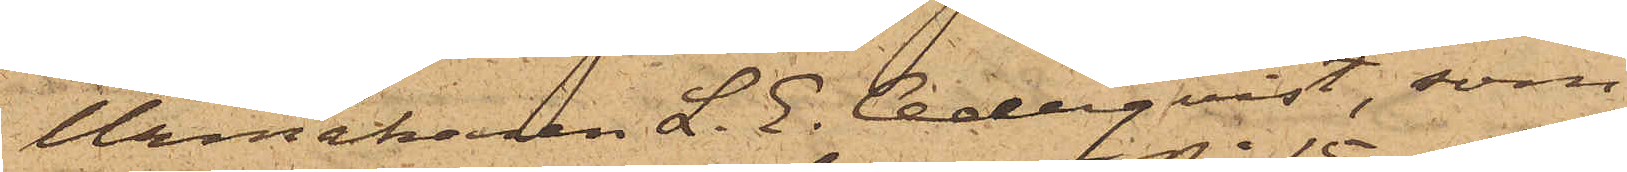Urmakaren L. E. Cederqvist, som
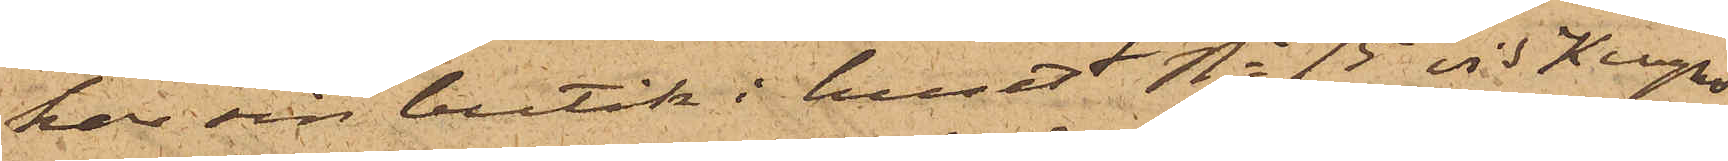har sin butik i huset No 15 vid Kungs¬
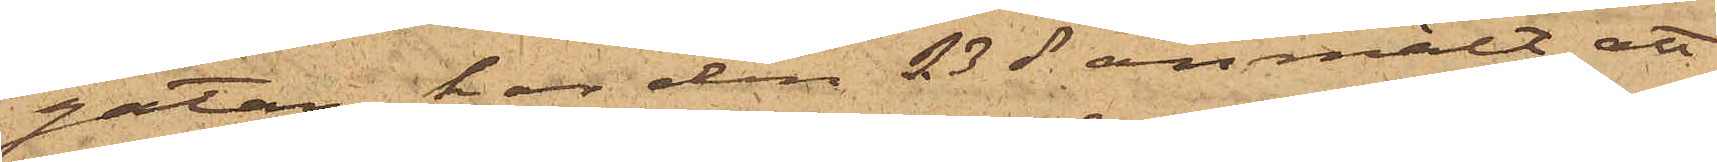gatan, har den 23 ds anmält, att
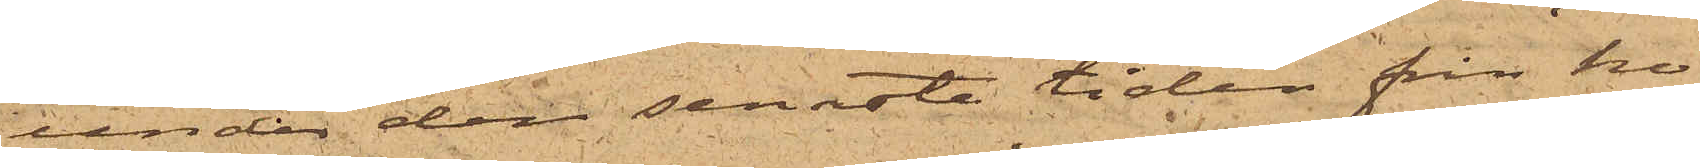under den senaste tiden från ho¬
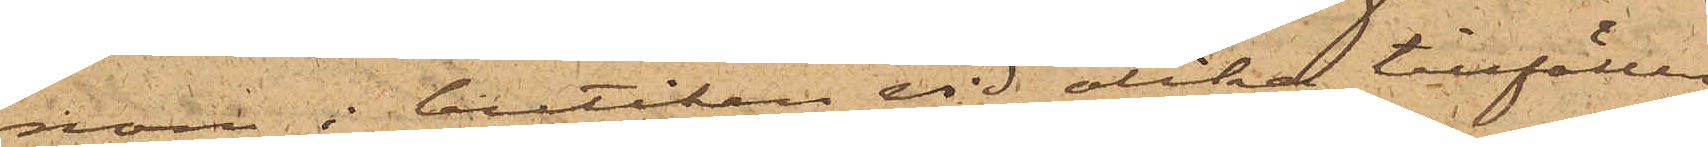nom i butiken vid olika tillfällen
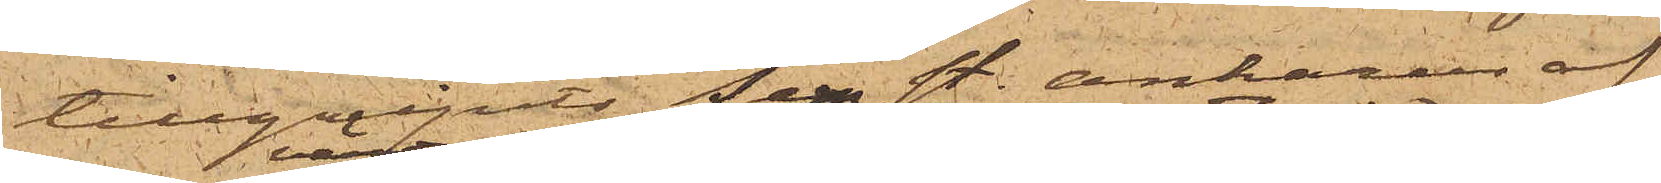tillgripits fem st. ankarur af
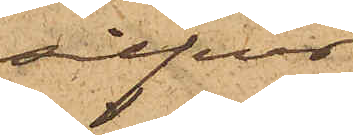silfver
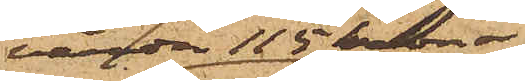värda 115 kronor
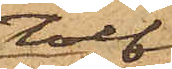tolf
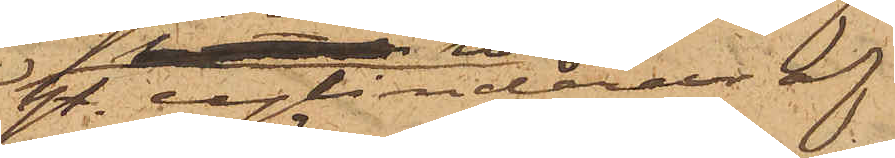st. cylinderur af
